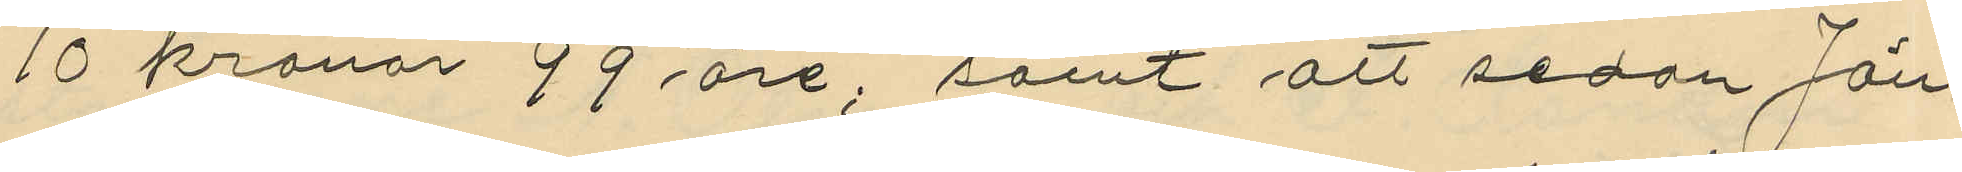10 kronor 99 öre; samt att sedan Jön¬
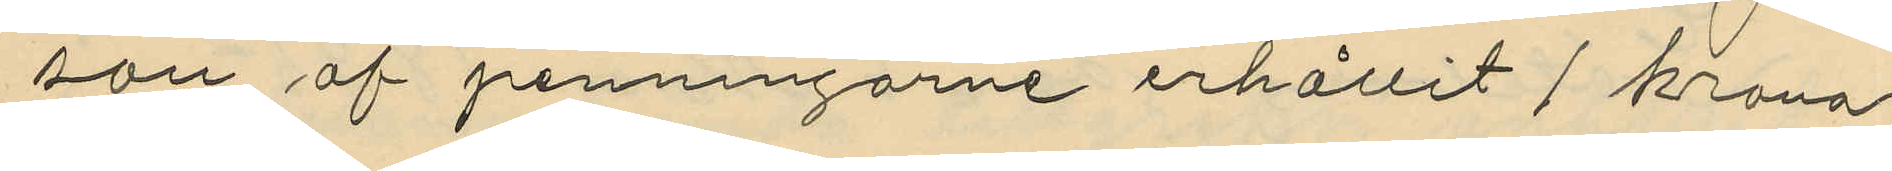son af penningarne erhållit 1 krona
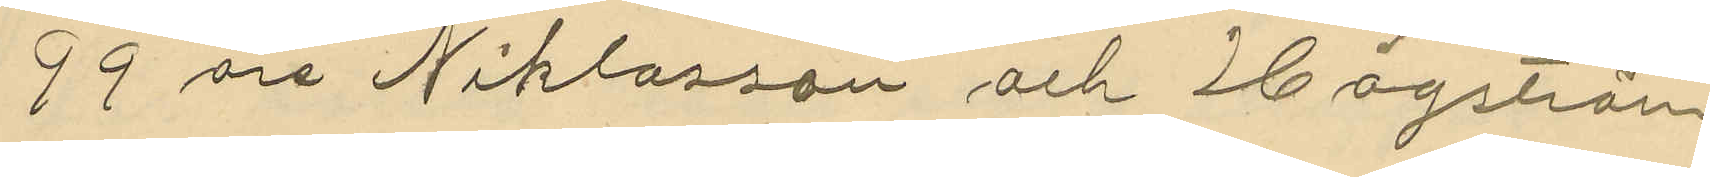99 öre Niklasson ,och Högström
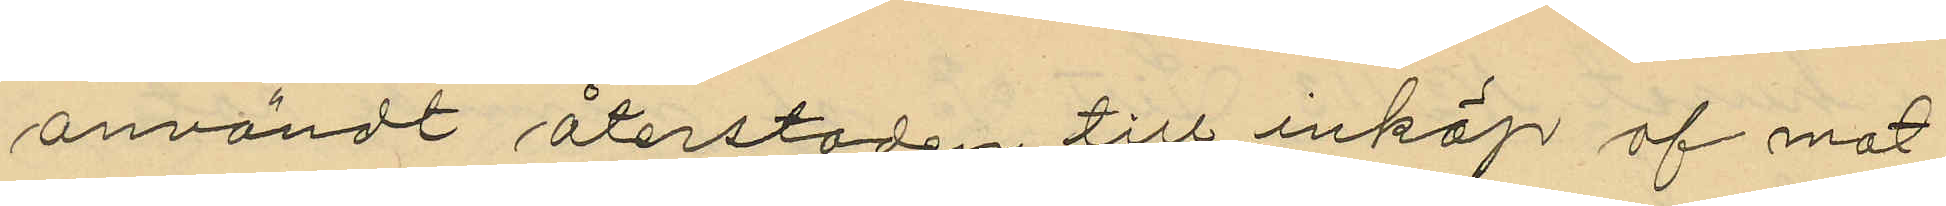användt återstoden till inköp af mat
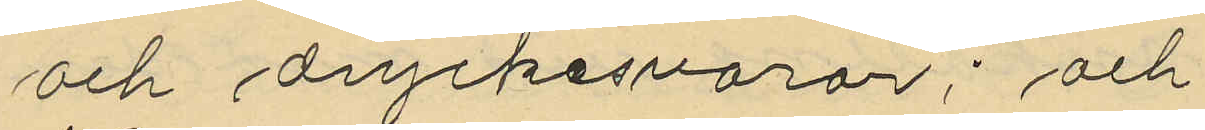och dryckesvaror; och
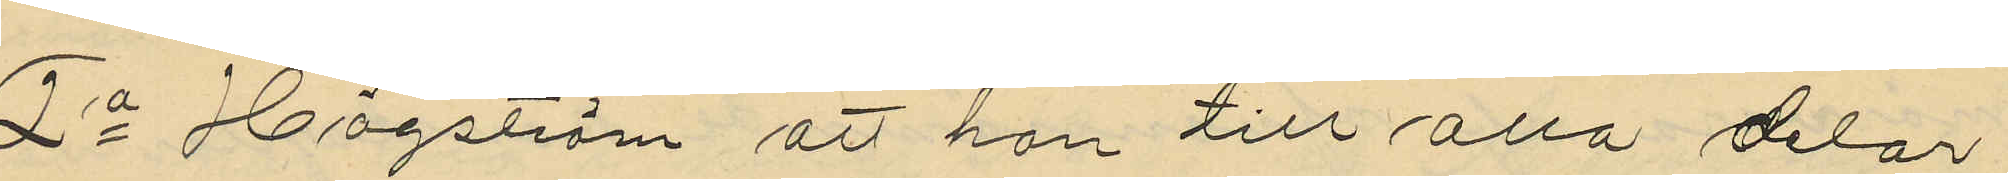2o Högström att han till alla delar
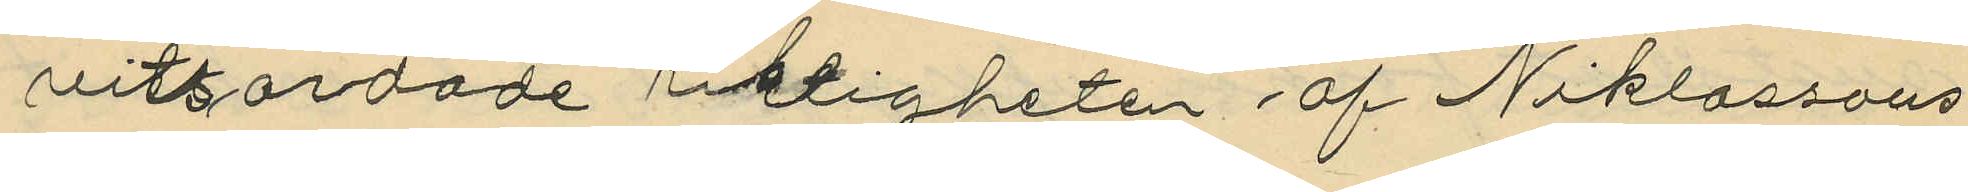vitsordade riktigheten af Niklassons
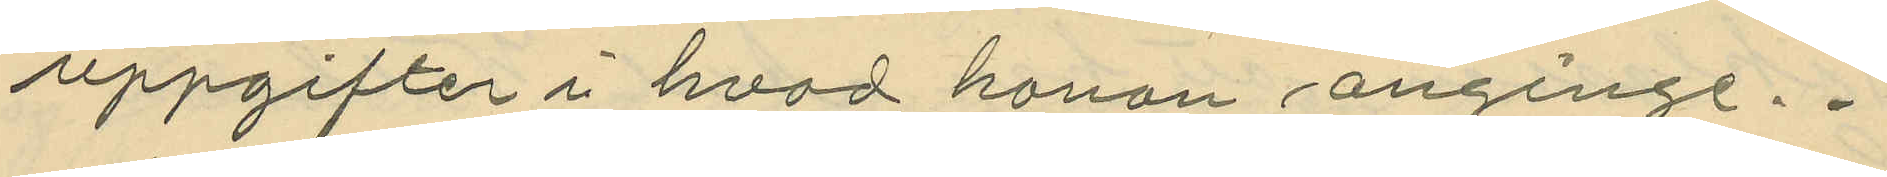uppgifter i hvad honon anginge.
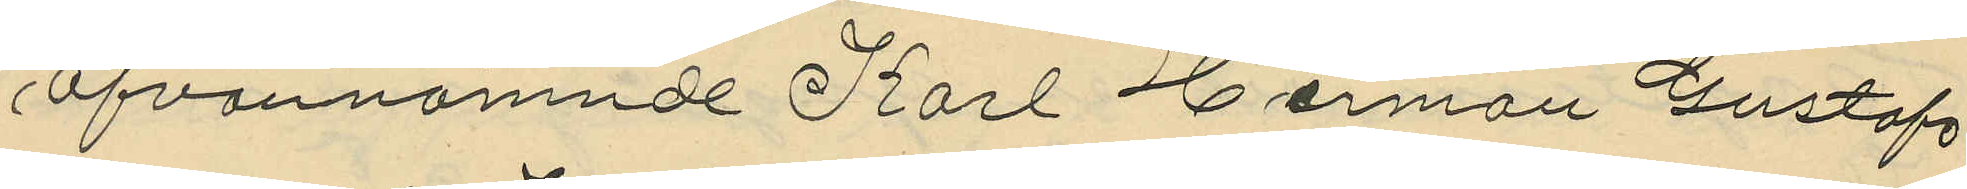Ofvannämnde Karl Herman Gustafs
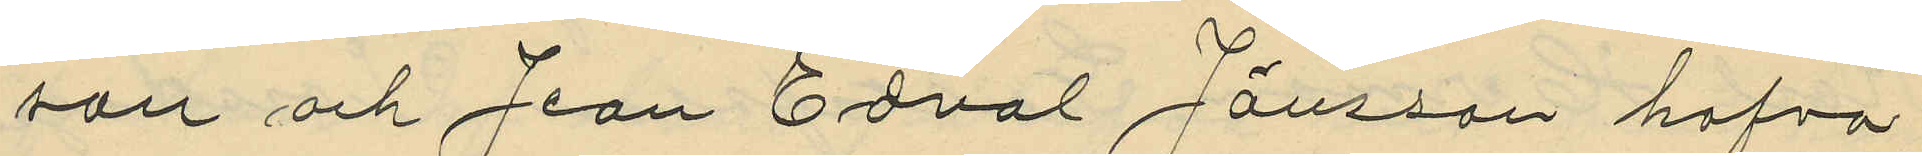son och Jean Edval Jansson hafva
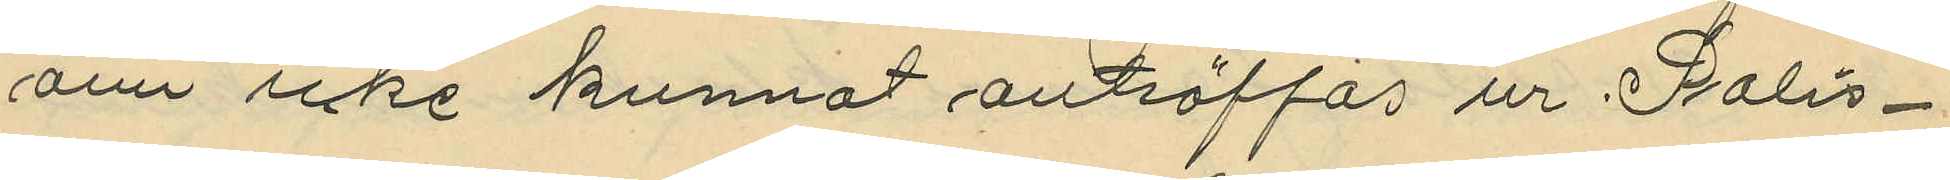ännu icke kunnat anträffas ur Polis¬
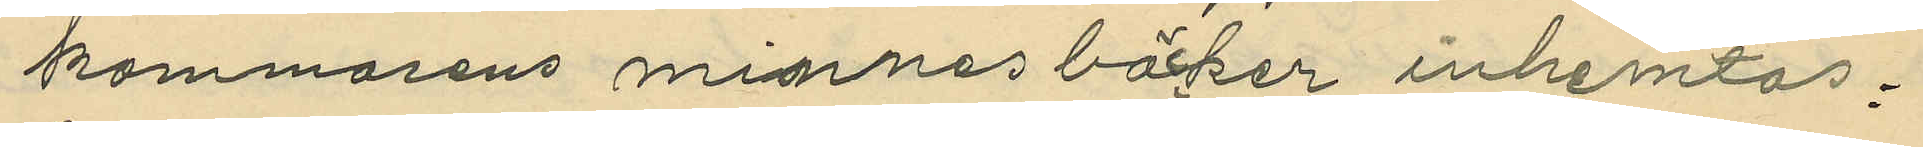kammarens minnesböcker inhemtas,
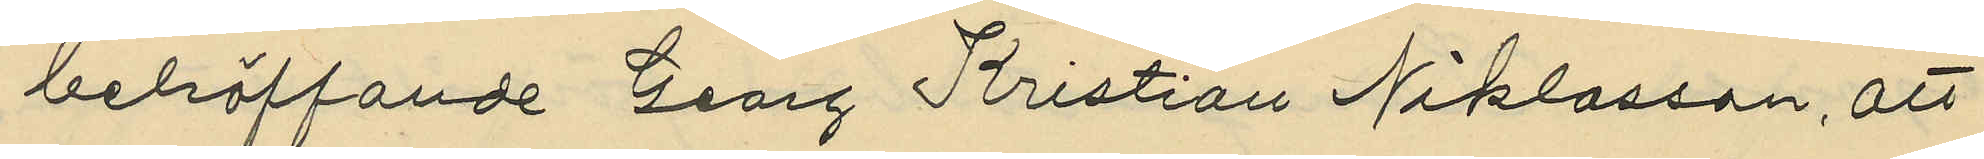betäffande Georg Kristian Niklasson, att
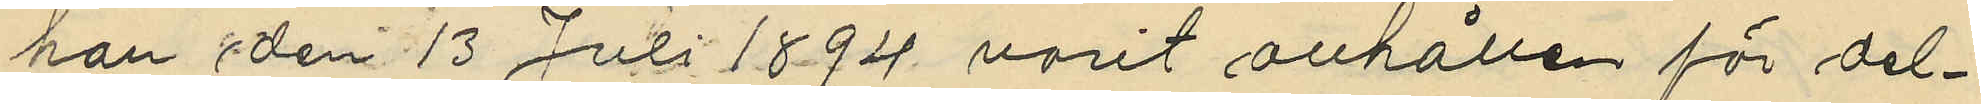han den 13 Juli 1894 varit anhållen för del¬
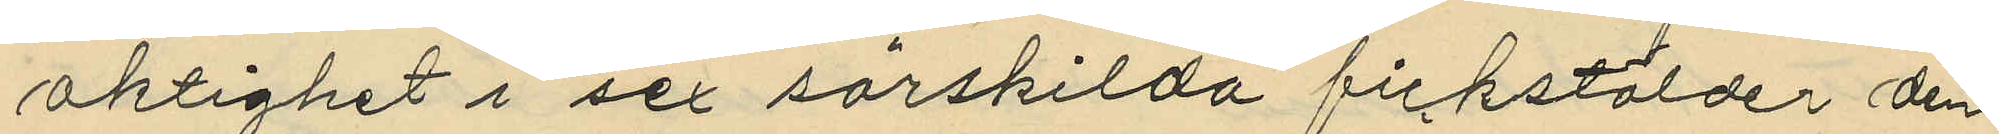aktighet i sex särskilda fickstölder den
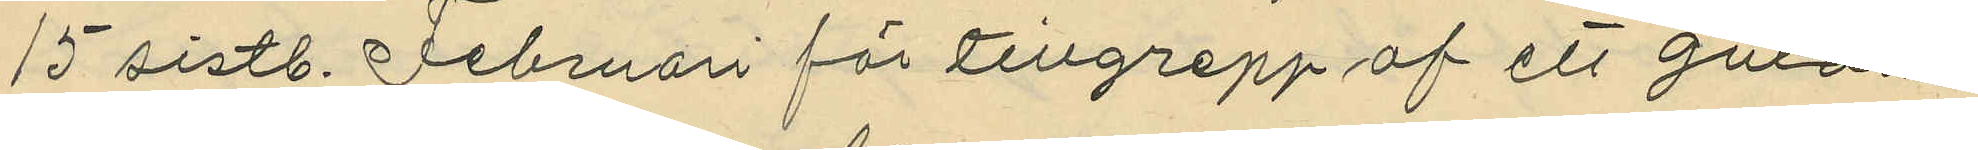15 sistl. Februari för tillgrepp af ett guldur
